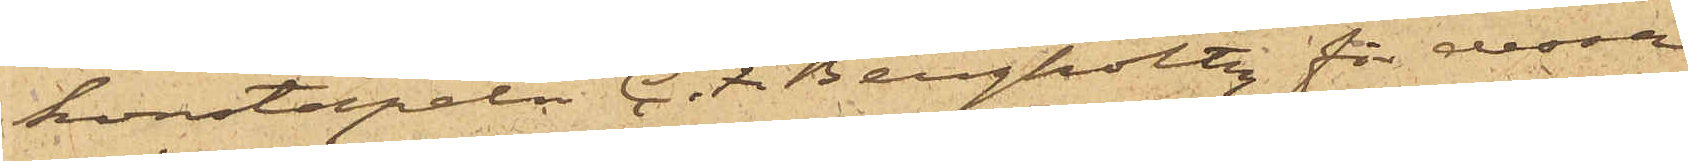konstapeln C. F. Bergholtz för dessa
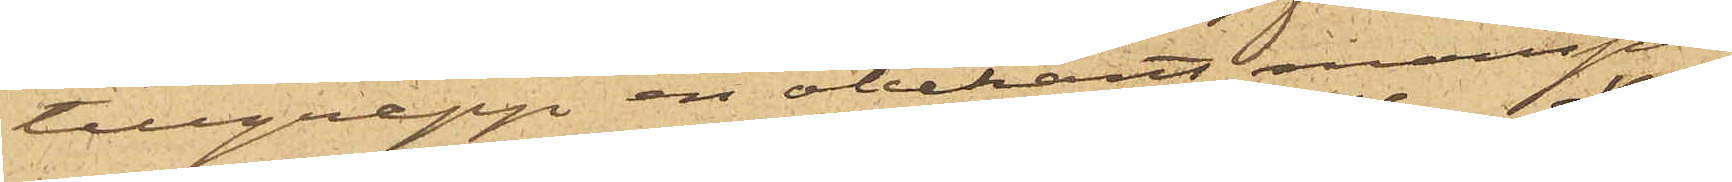tillgrepp en obekant mansper¬
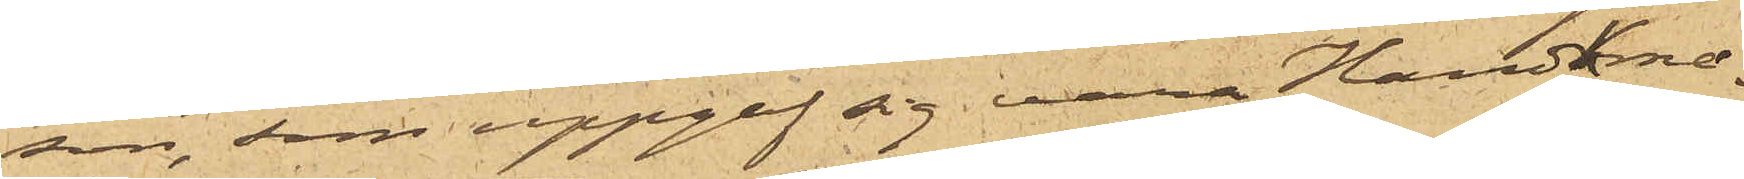son, som uppgaf sig vara Handskma¬
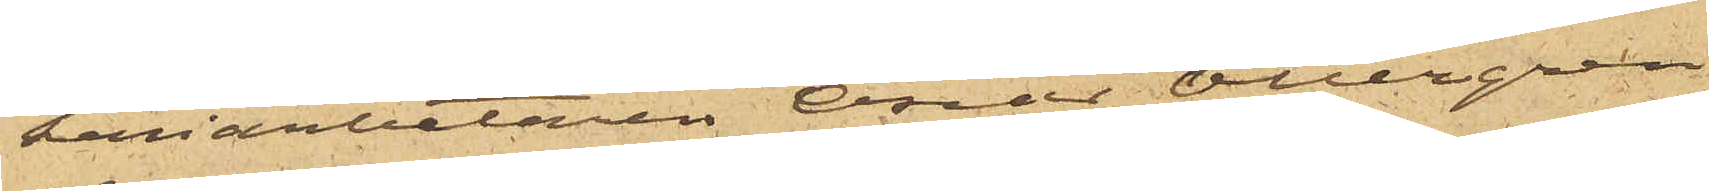keriarbetaren Oscar Ottergren
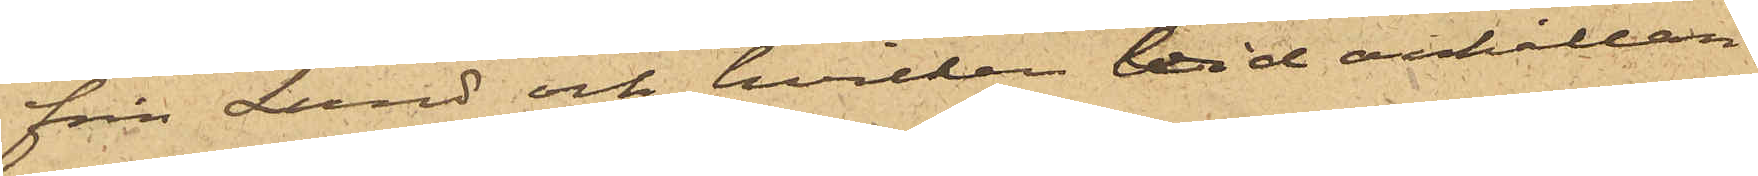från Lund och hvilken vid anhållan¬
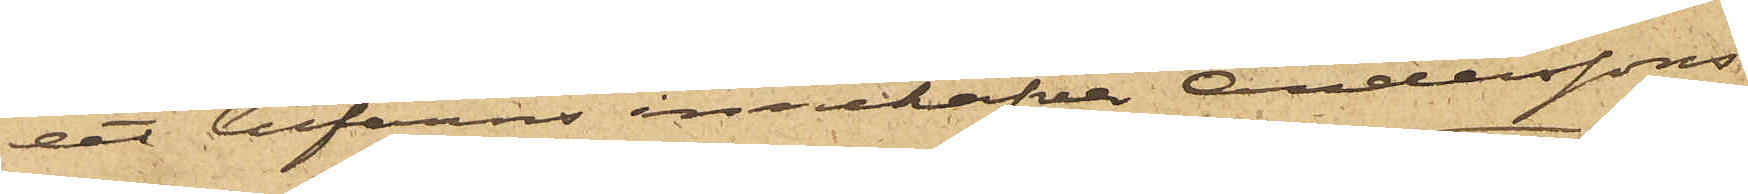det befanns innehafva Anderssons
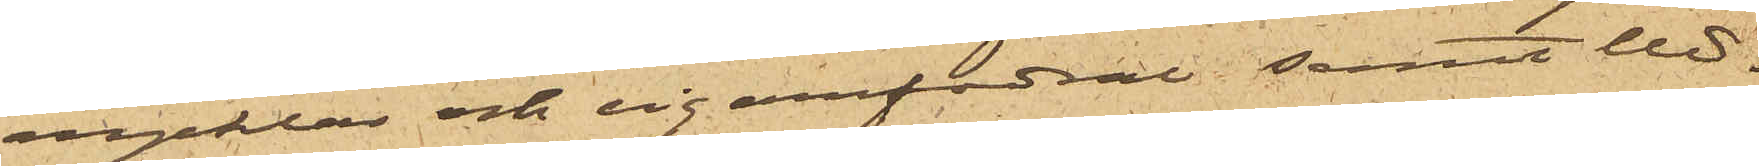nycklar och cigarrfodral; samt Ud¬
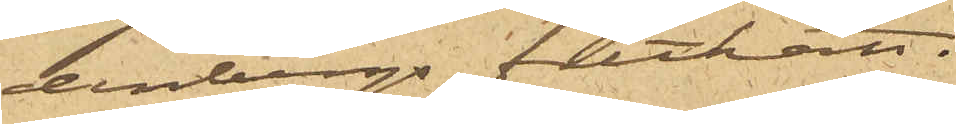denbergs filthatt.
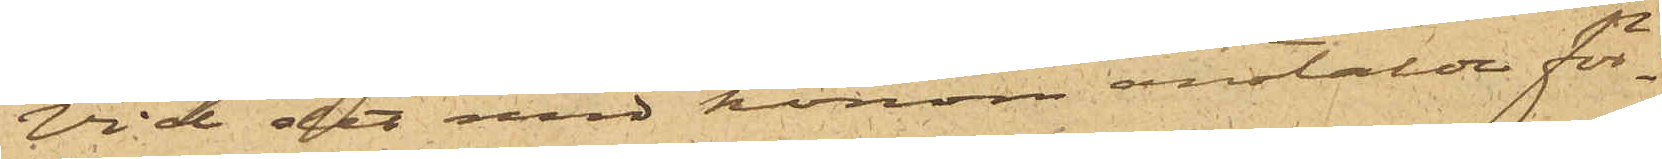Vid det med honom anstälde för¬
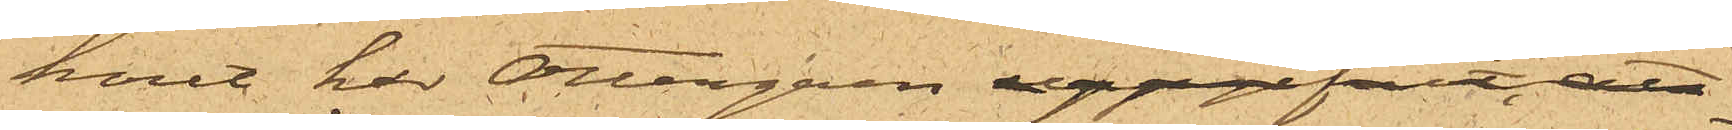hör har Ottergren uppgifvit och
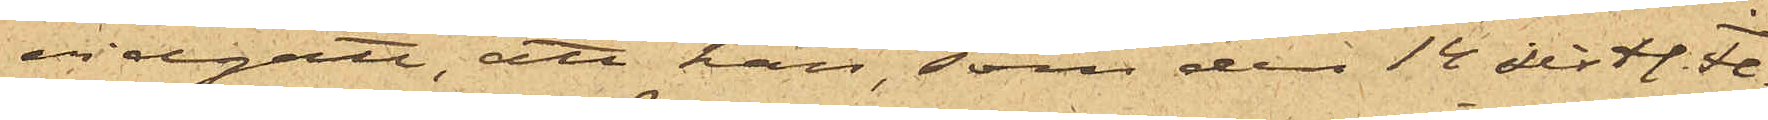vidgått, att han, som den 14 sist. Fe¬
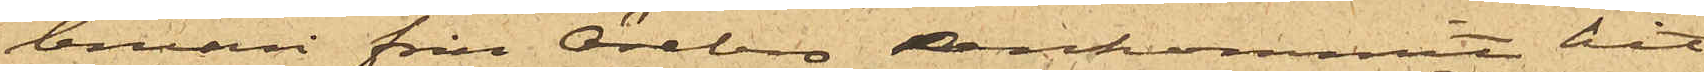bruari från Örebro ankommit hit
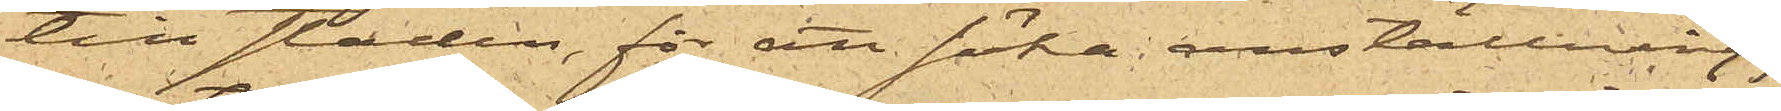till staden, för att söka anställning,
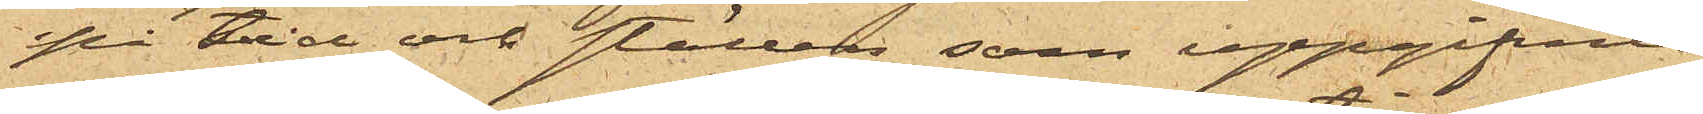på tid och ställen som uppgifvits
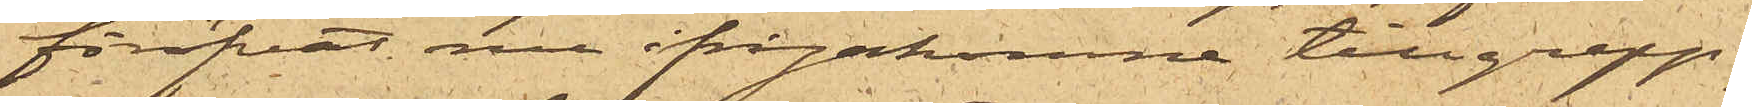föröfvat nu ifrågakomne tillgrepp;
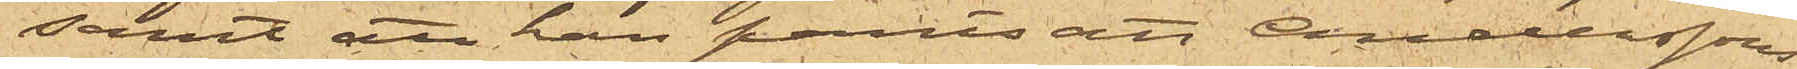samt att han pantsatt Anderssons
